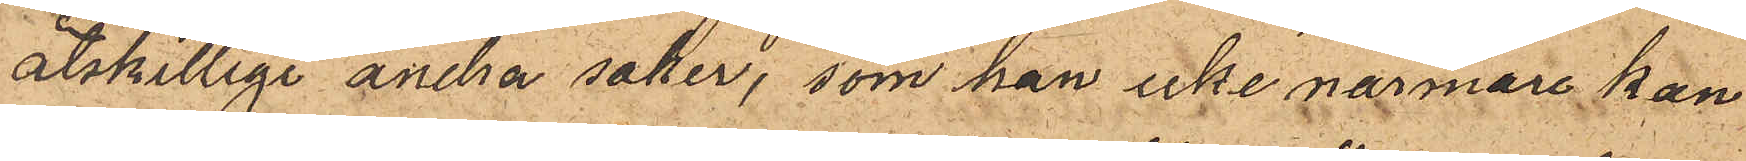åtskillige andra saker, som han icke närmare kan
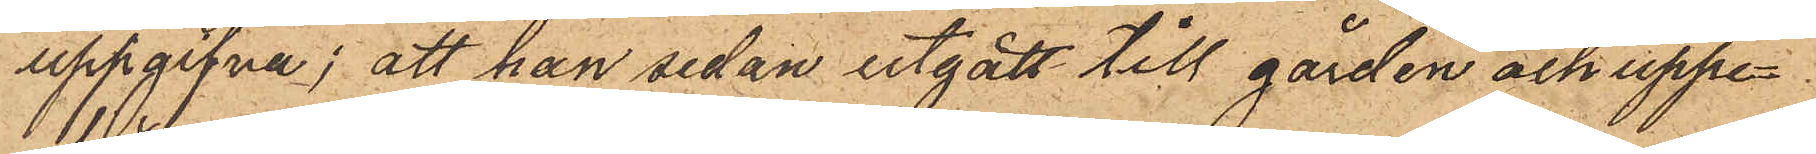uppgifna; att han sedan utgått till gården och uppe¬
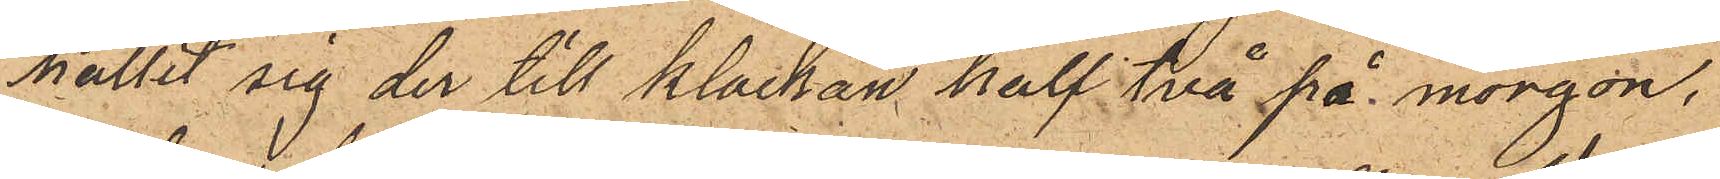hållit sig der till klockan half två på morgon,
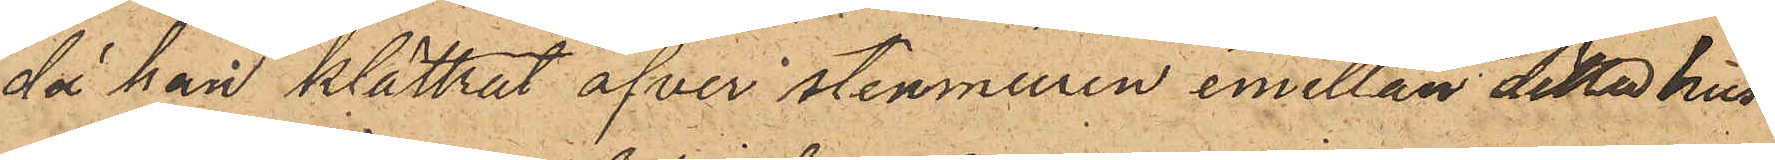då han klättrat öfver stenmuren emellan detta hus
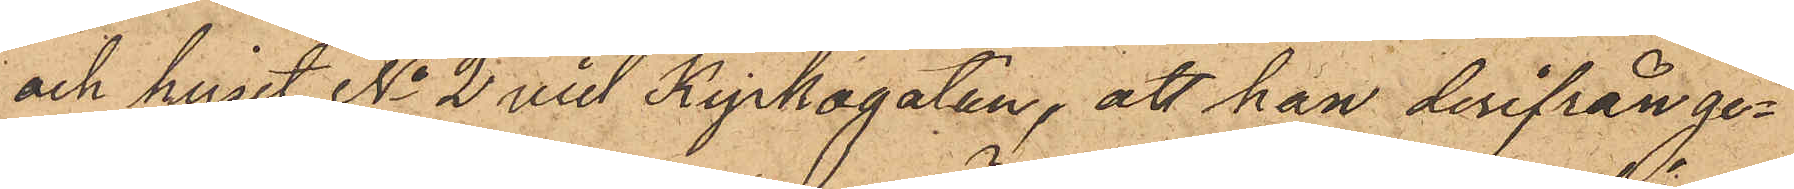och huset No 2 vid Kyrkogatan, att han derifrån ge¬
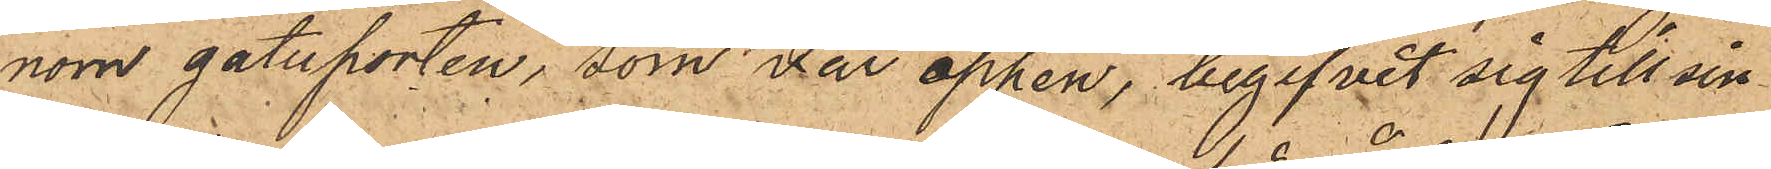nom gatuporten, som var öppen, begifvit sig till sin
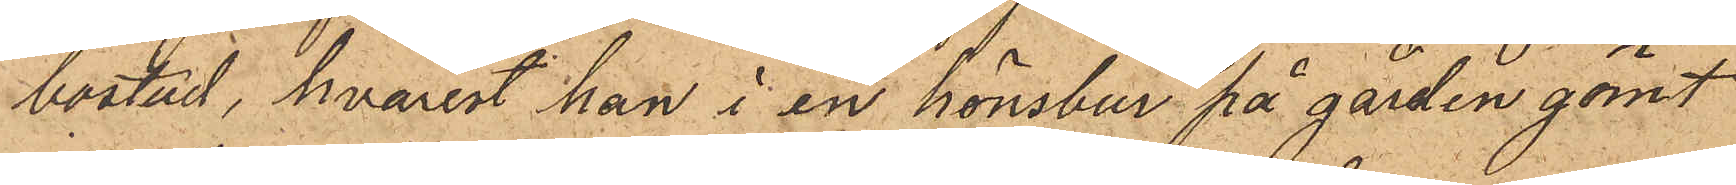bostad, hvarest han i en hönsbur på gården gömt
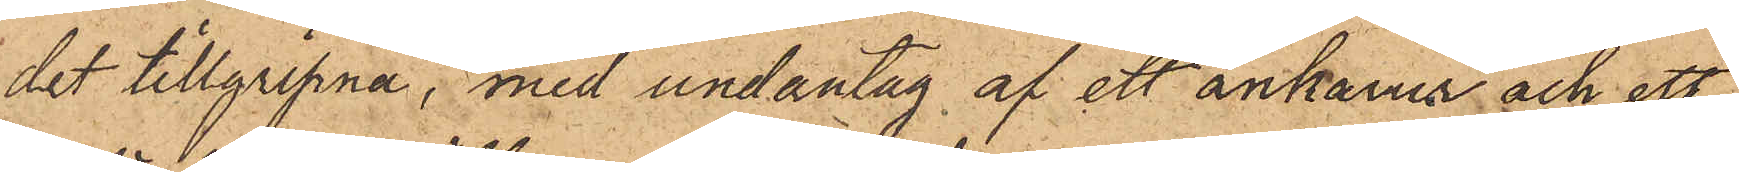det tillgripna, med undantag af ett ankarur och ett
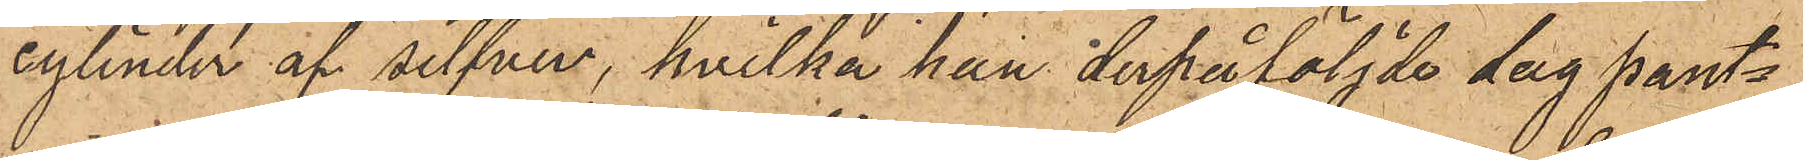cylinder af silfver, hvilka han derpåföljde dag pants¬
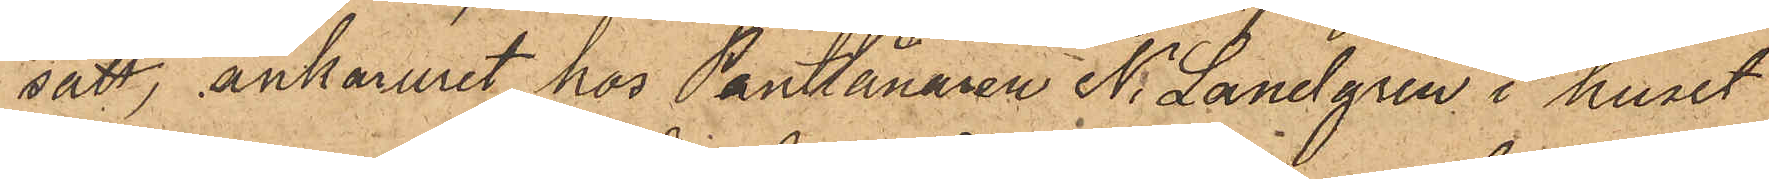satt, ankaruret hos Pantlånaren N. Landgren i huset
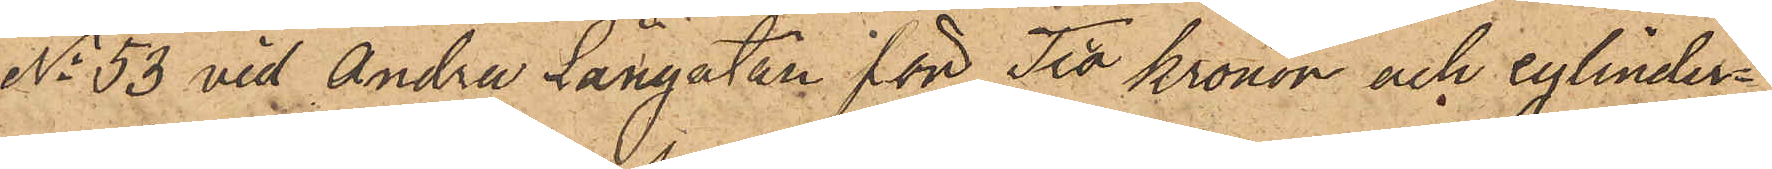No 53 vid Andra Långatan för Två Kronor och cylinder¬
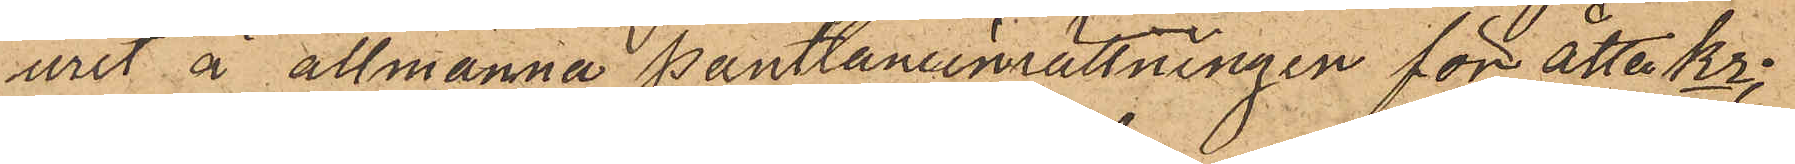uret å allmänna Pantlåneinrättningen för åtta Kr;
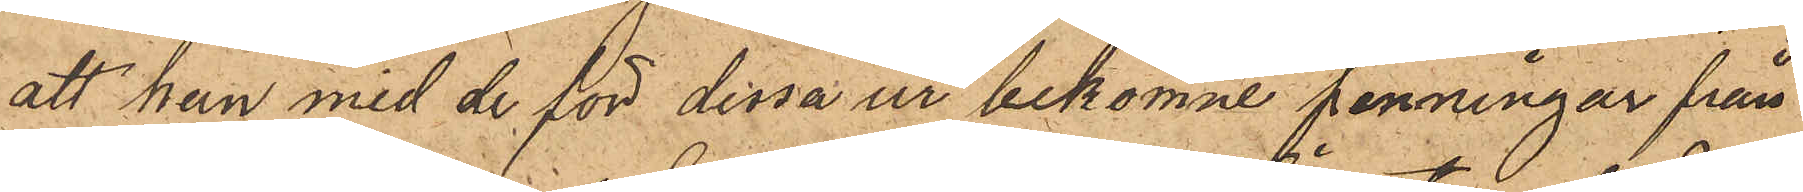att han med de för dessa ur bekomne penningar från
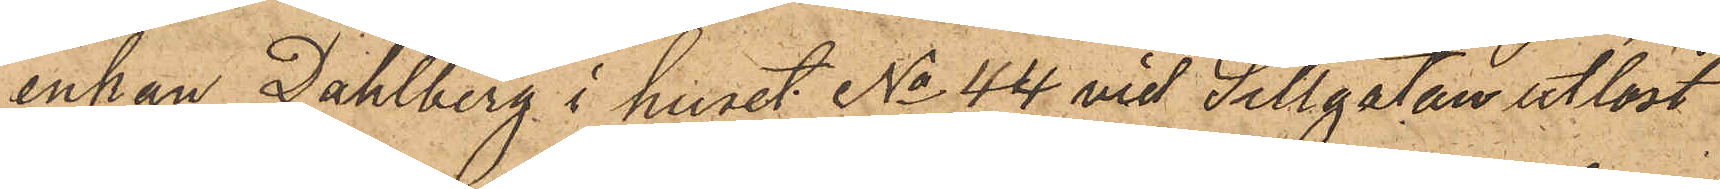enkan Dahlberg i huset No 44 vid Sillgatan utlöst
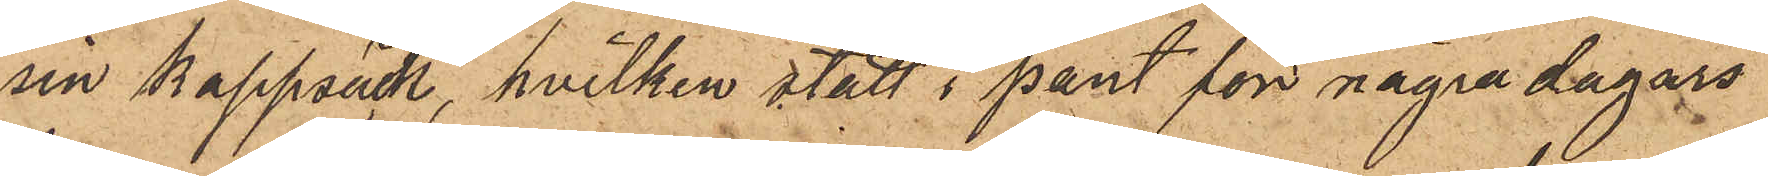sin kappsäck, hvilken stått i pant för några dagars
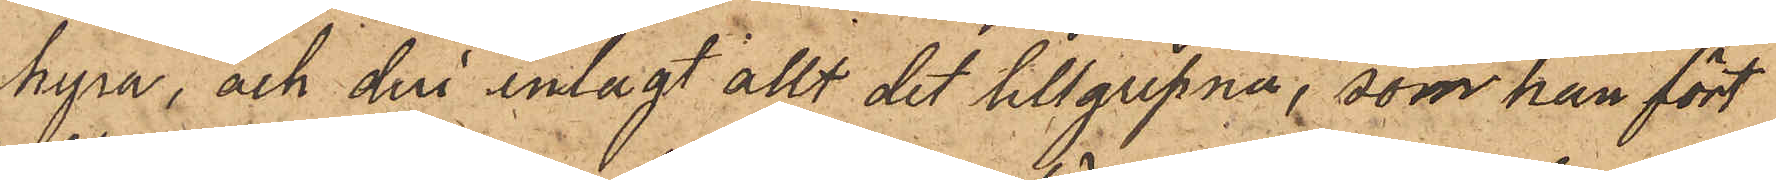hyra, och deri inlagt allt det tillgripna, som han fört
